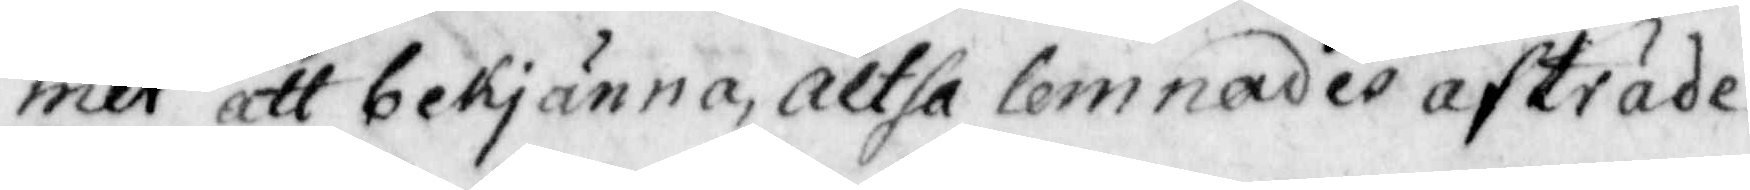mer att bekjänna, altså lemnades afträde.
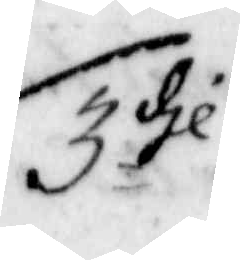3 dje
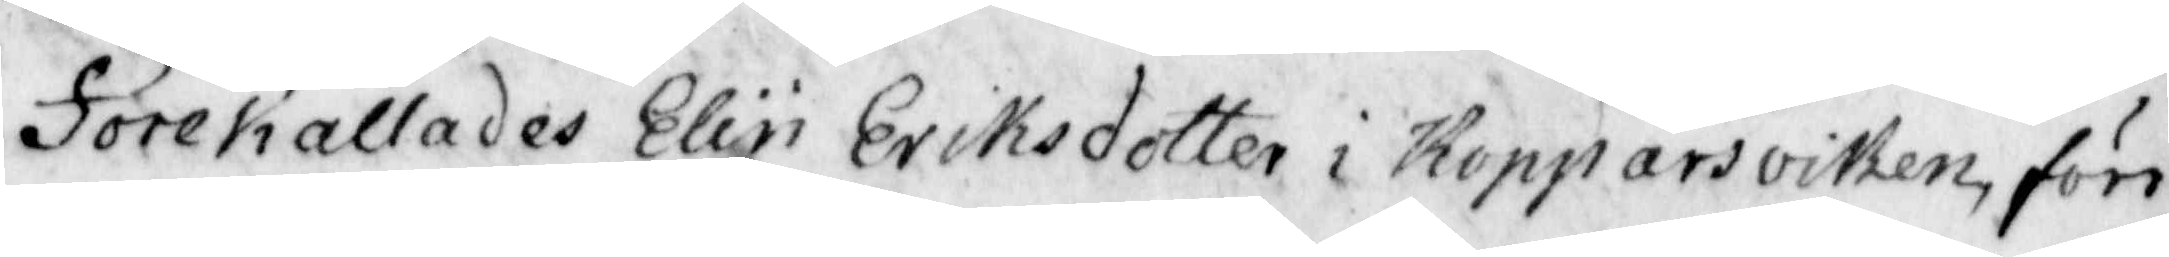Förekallades Elin Eriksdotter i Kopparsviken förr
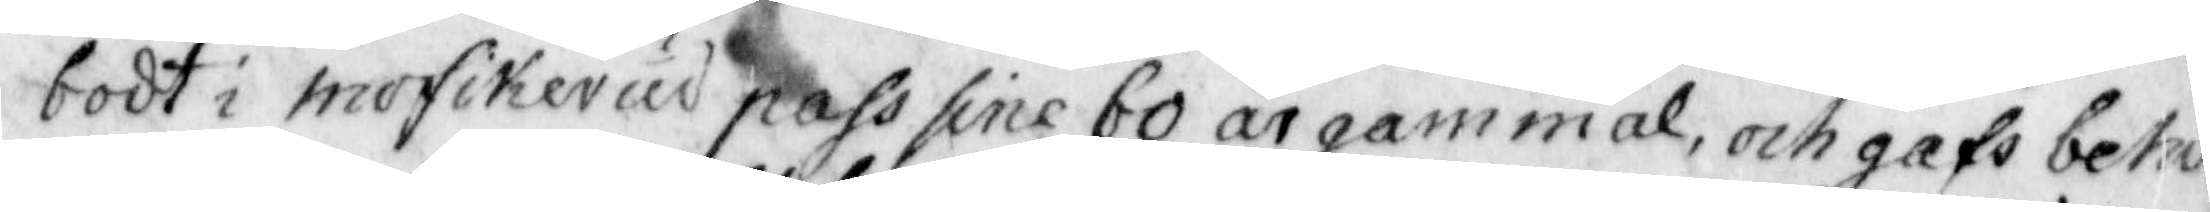bodt i mofikerud pass sine 60 år gammal, och gafs behö¬
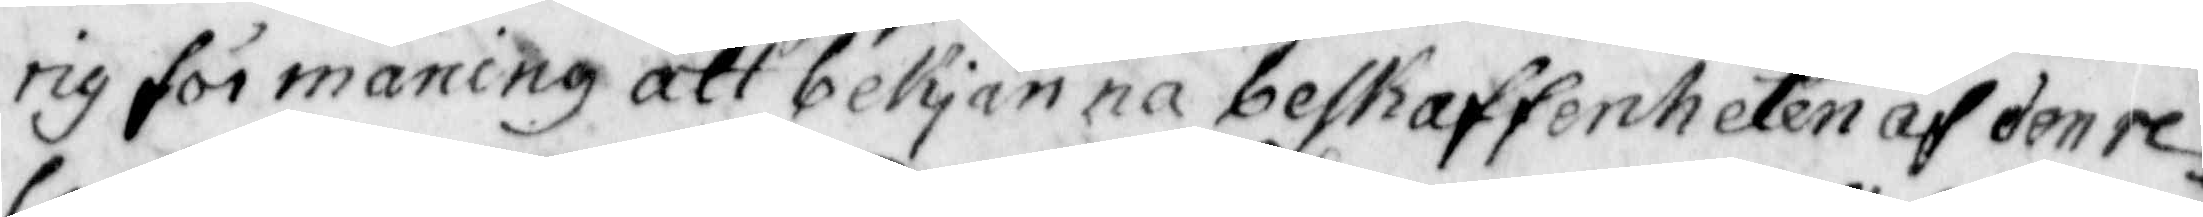rig förmaning att bekjänna beskaffenheten af den re¬
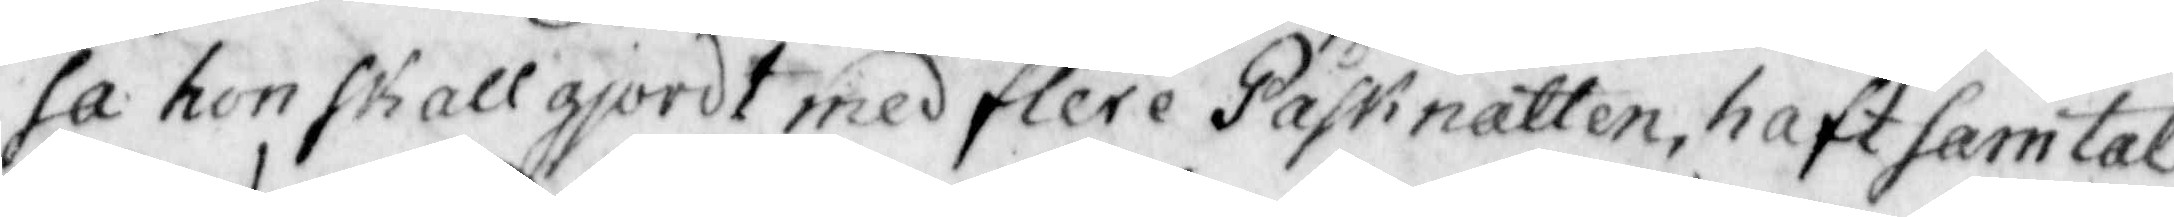sa hon skall giordt med flere Påsknatten, haft samtal
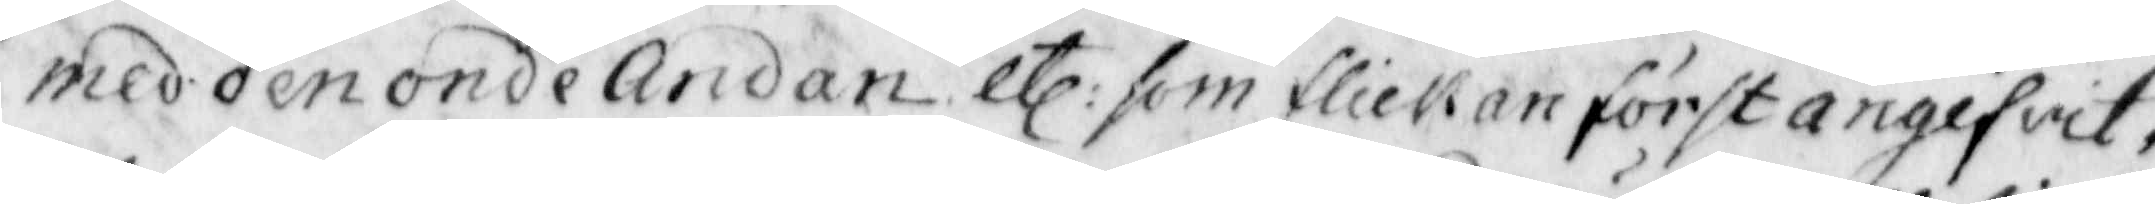med den onde Andan etc: som flickan först angifvit,
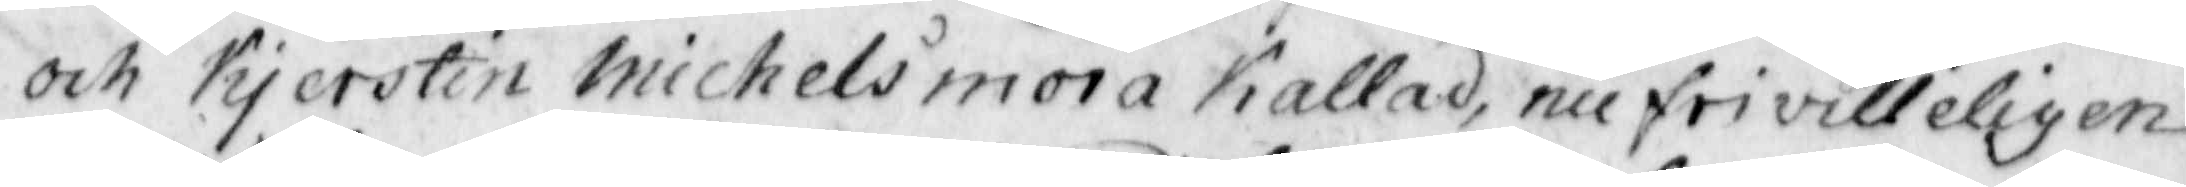och Kjerstin Michelsmora kallad, nu frivilleligen
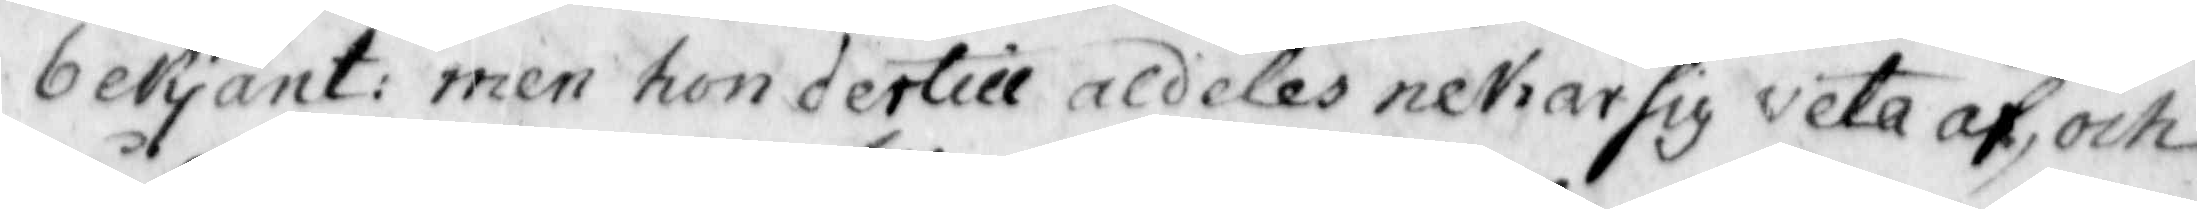bekänt: men hon dertill aldeles nekar sig veta af, och
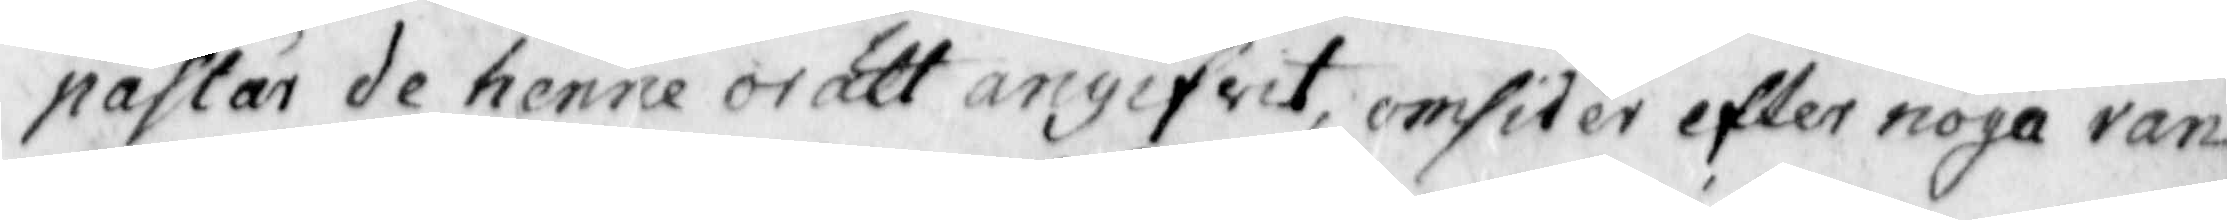påstår de henne orätt angifvit, omsider efter noga ran¬
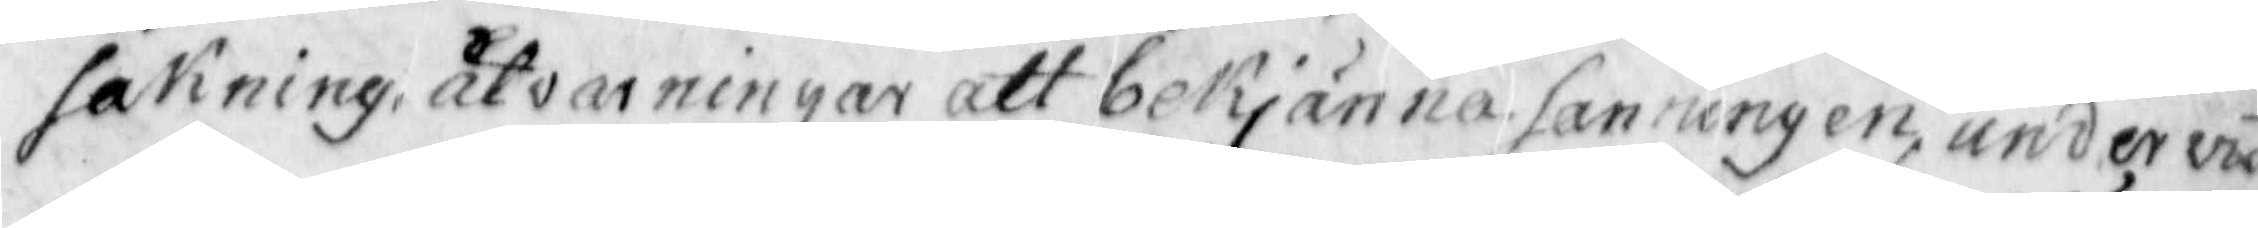sakning, åtvarningar att bekjänna sanningen, undervis¬
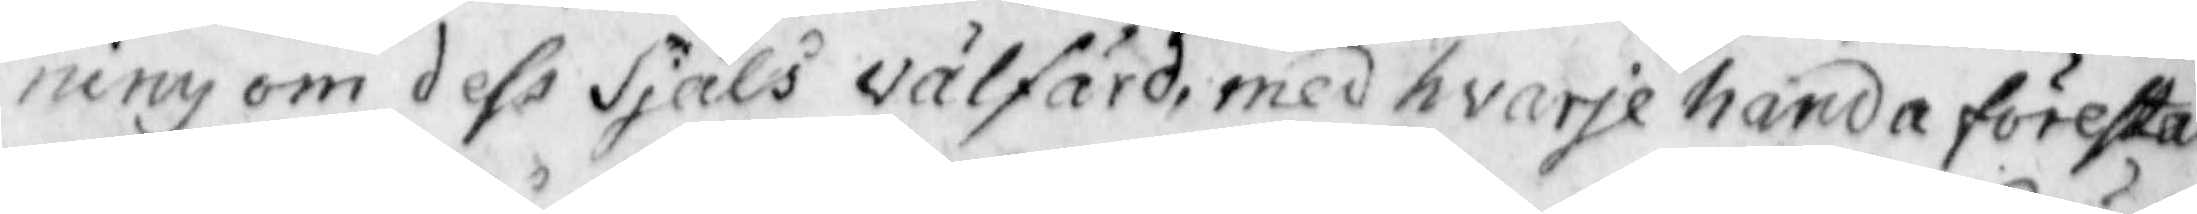ning om dess Siäls valfärd, med hvarje handa förestäl¬
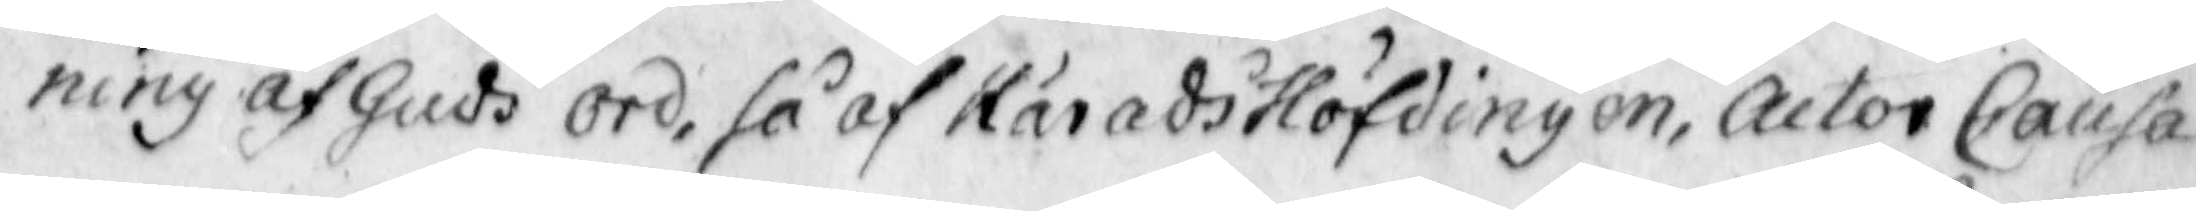ning af Guds ord, så af Häradshöfdingen, actor Causa
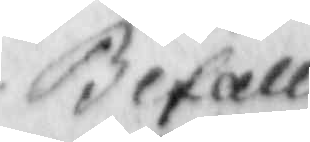Befall
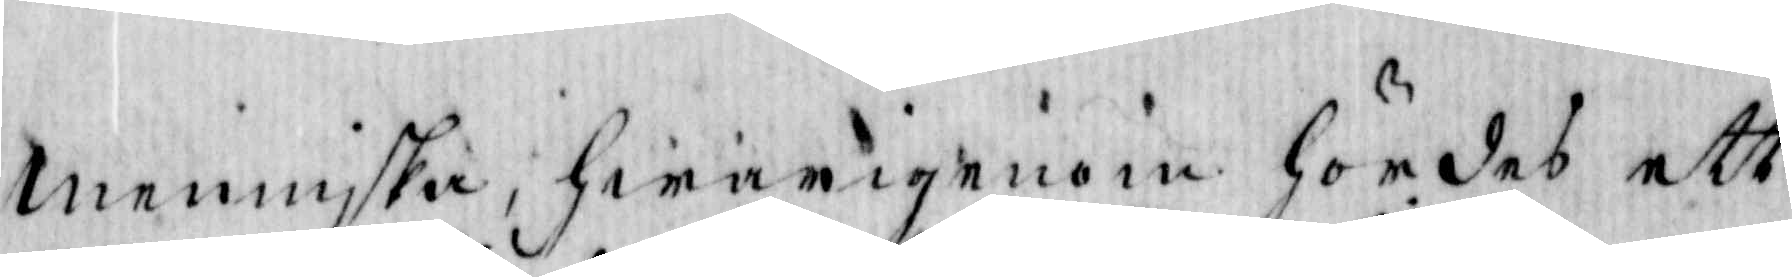Menniska, hwarigenom hördes ett
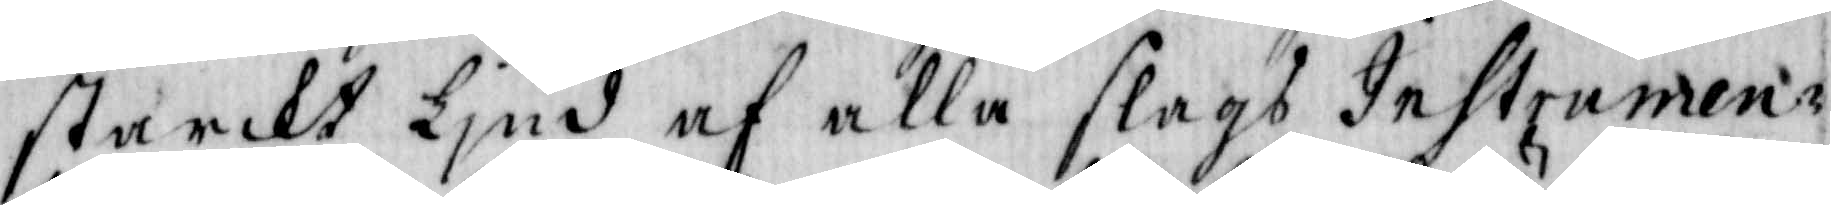starckt Ljud af alla slags Instrumen¬
